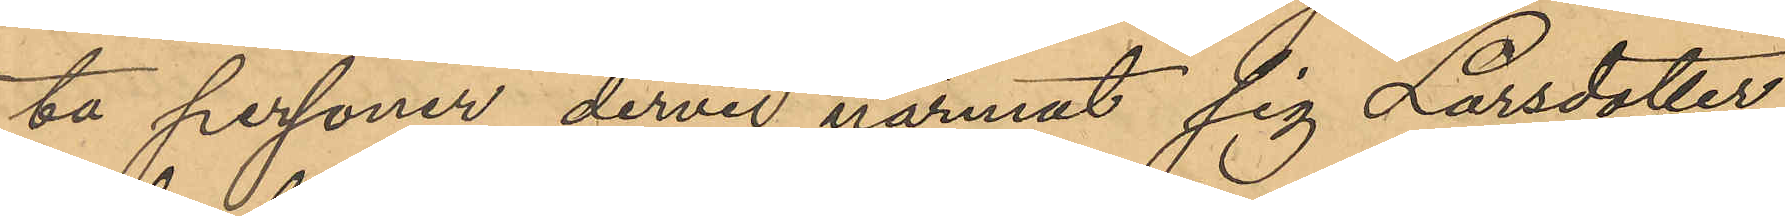ta personer dervid närmat sig Larsdotter
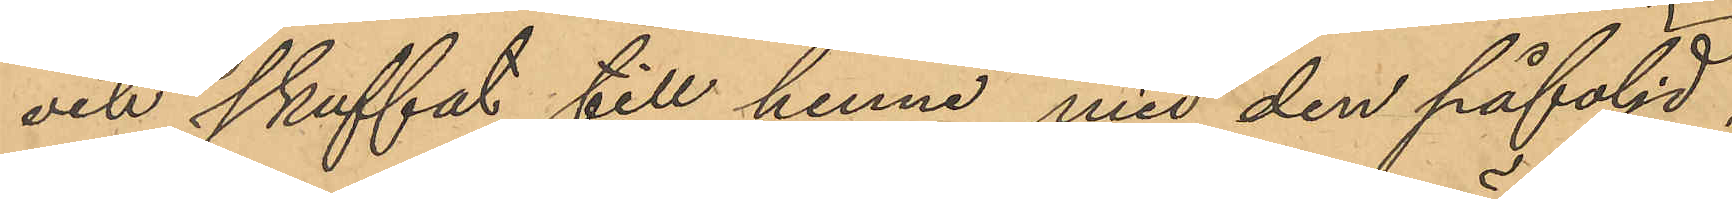och skuffat till henne med den påföljd,
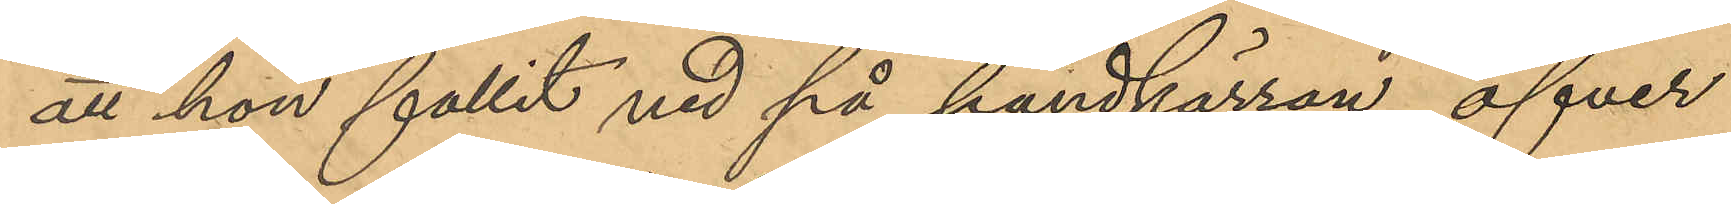att hon fallit ned på handkärran öfver
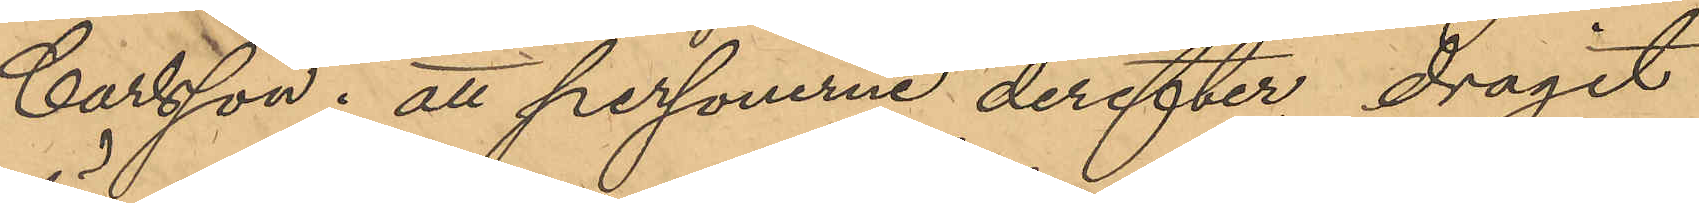Carlsson; att personerne derefter dragit
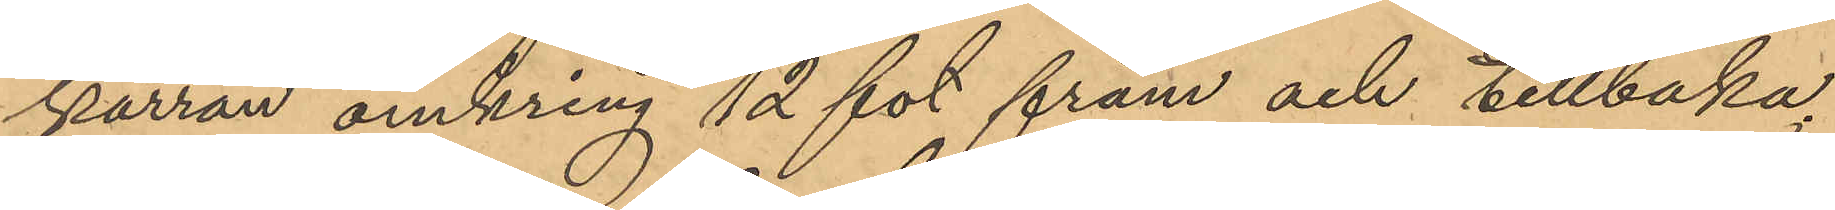kärran omkring 12 fot fram och tillbaka,
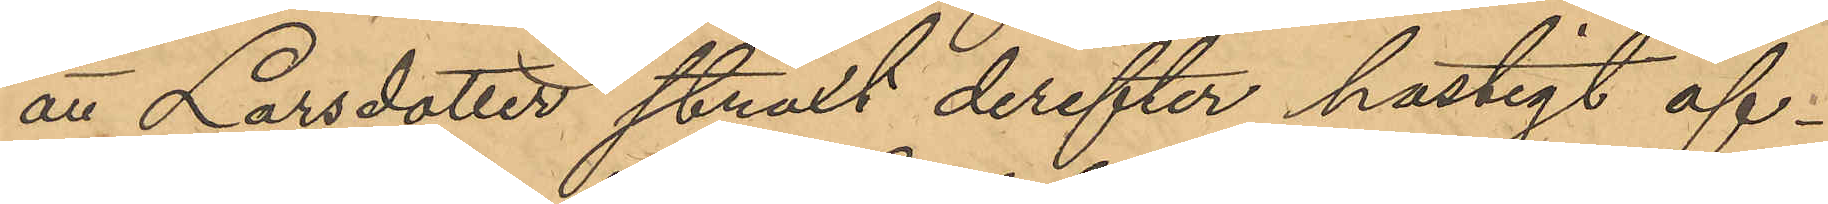att Larsdotter straxt derefter hastigt af¬
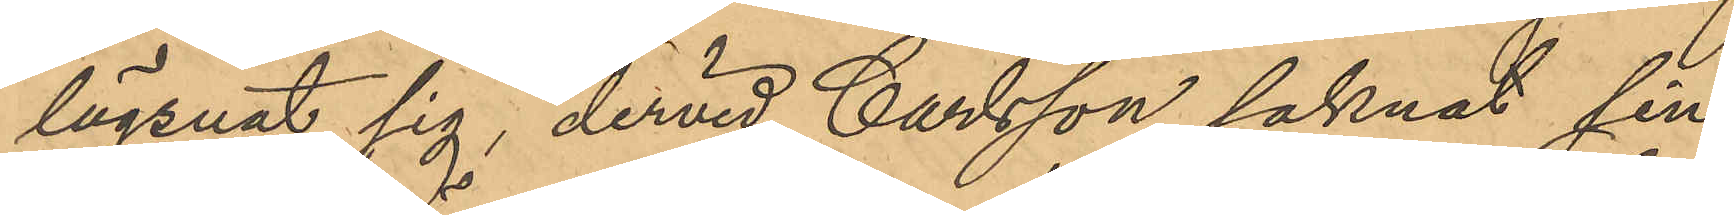lägsnat sig, dervid Carlsson saknat sin
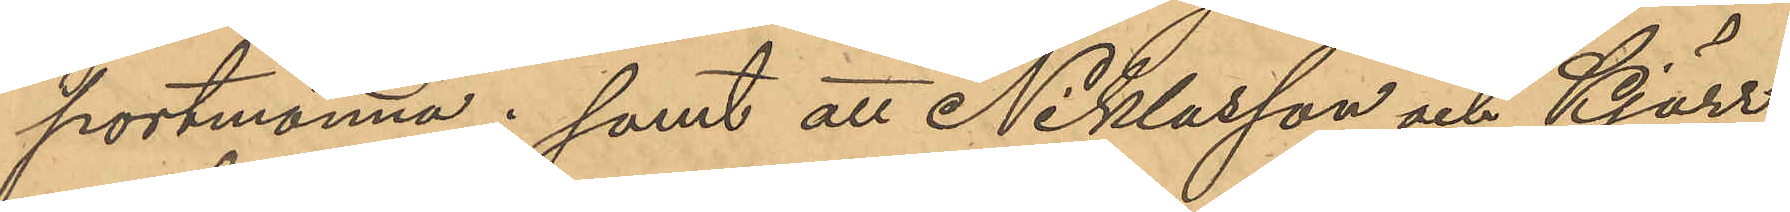portmonnä; samt att Niklasson och Kjärr
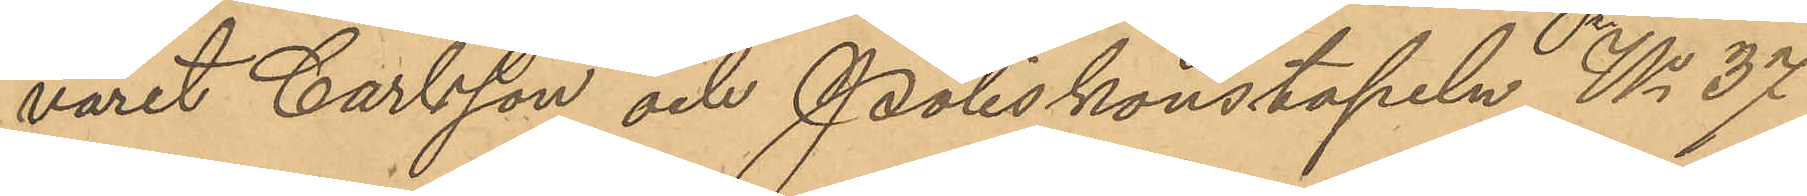varit Carlsson och Poliskonstapeln No 37
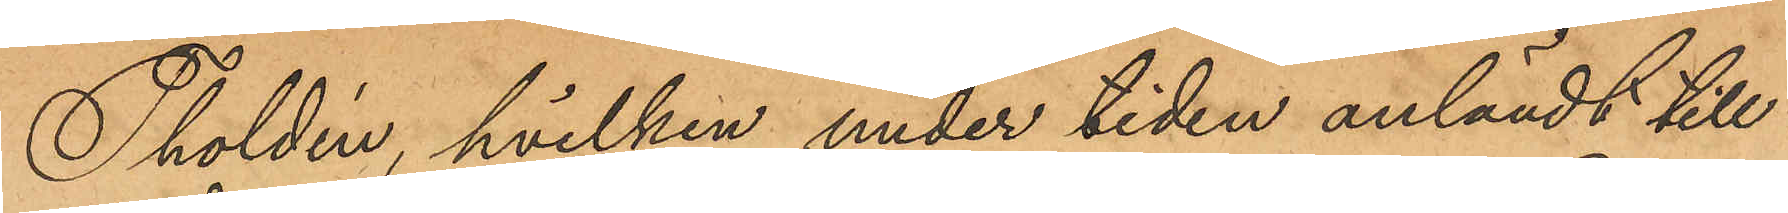Tholdin, hvilken under tiden anländt till
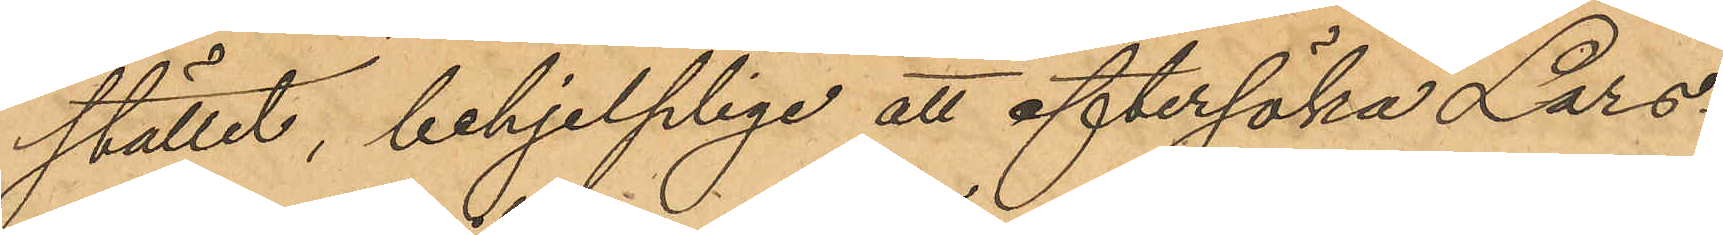stället, behjelplige att eftersöka Lars¬
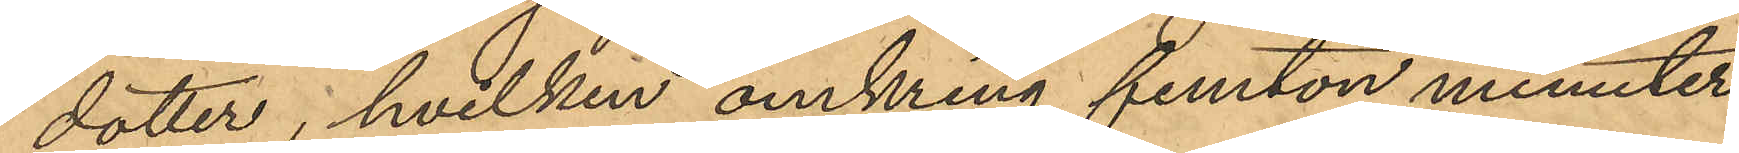dotter, hvilken omkring femton minuter
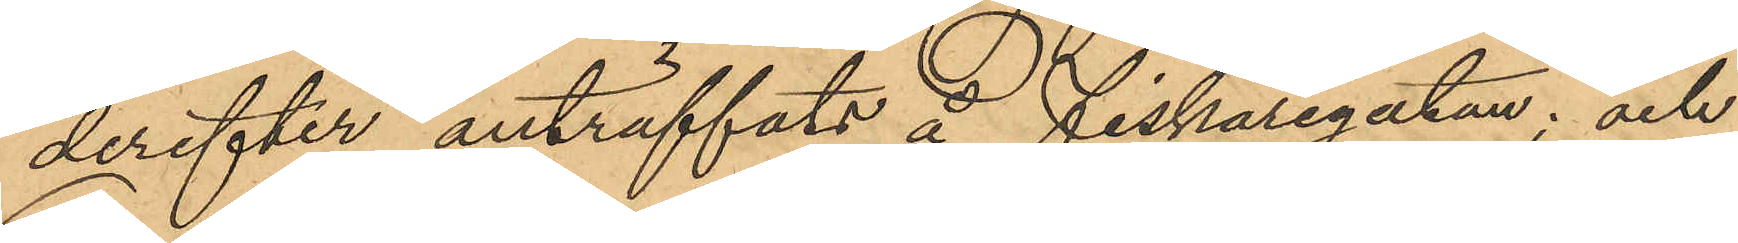derefter anträffats å Fiskaregatan; och
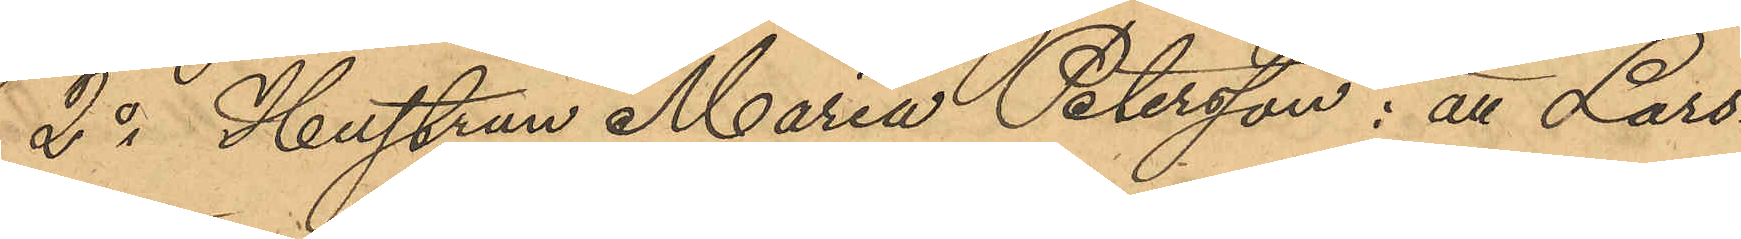2o Hustrun Maria Petersson: att Lars¬
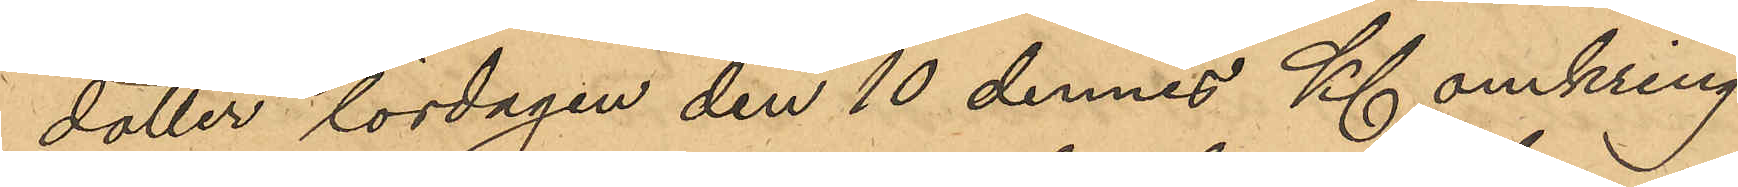dotter lördagen den 10 dennes Kl omkring
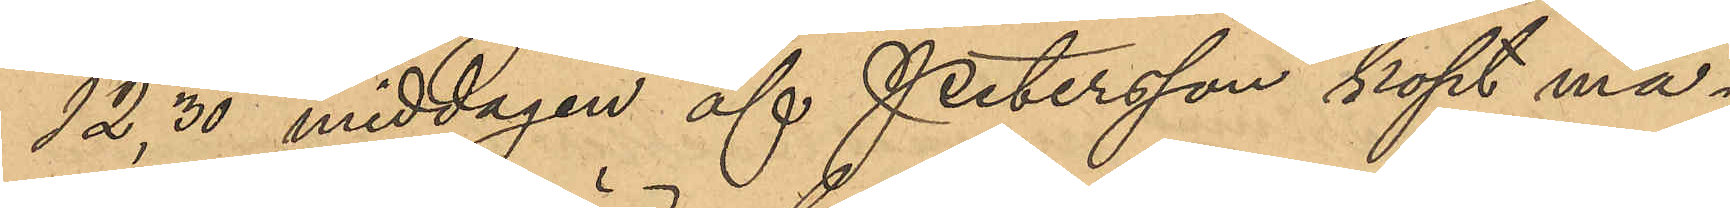12,30 middagen af Petersson köpt ma¬
